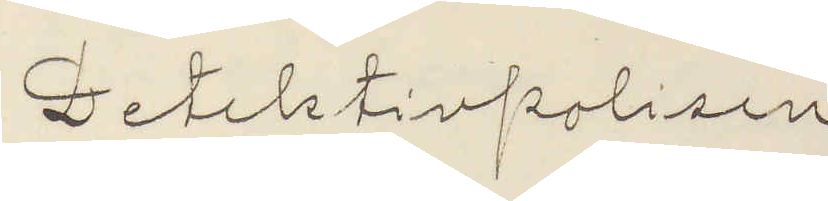Detektivpolisen
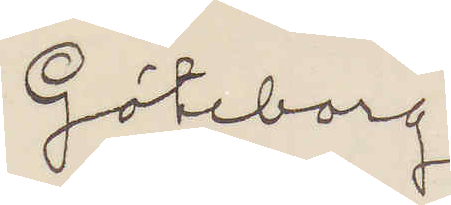Göteborg
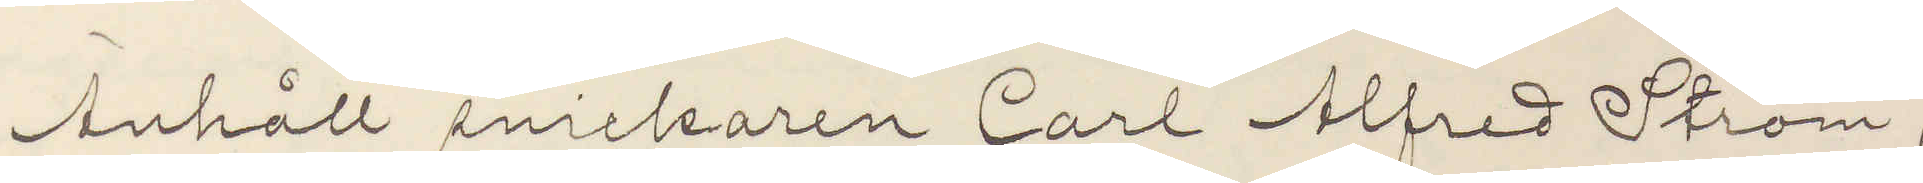Anhåll snickaren Carl Alfred Ström,
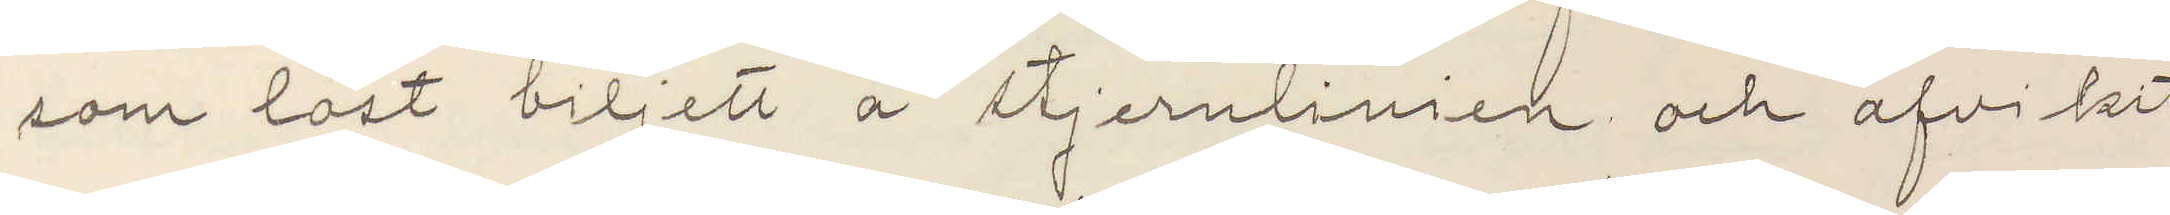som löst biljett å stjernlinien och afvikit
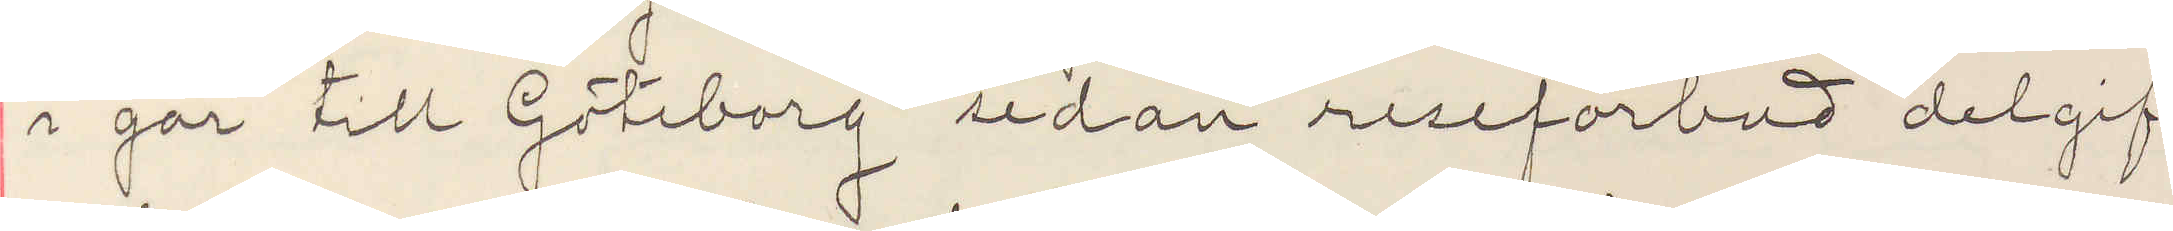i går till Göteborg redan reseförbud delgif¬
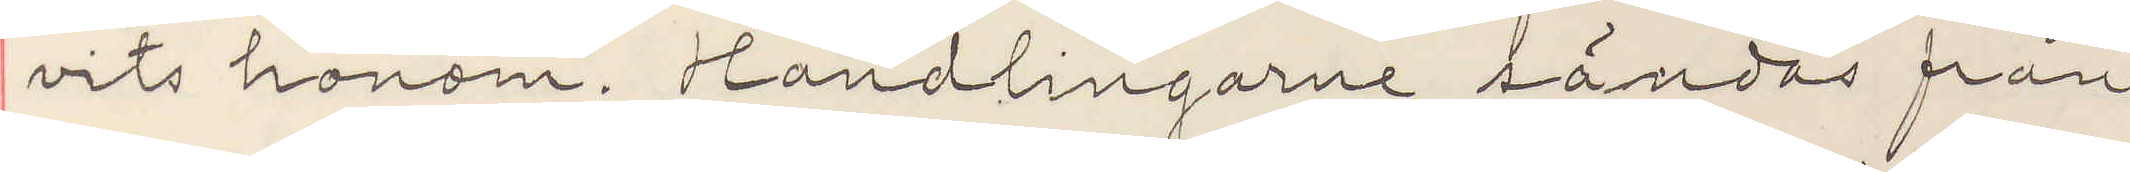vits honom. Handlingarne sändas från
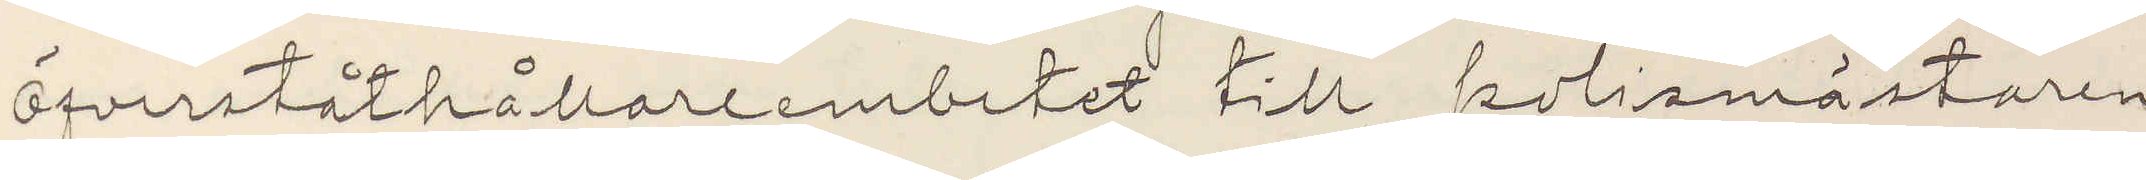Öfverståthållareembetet till polismästaren
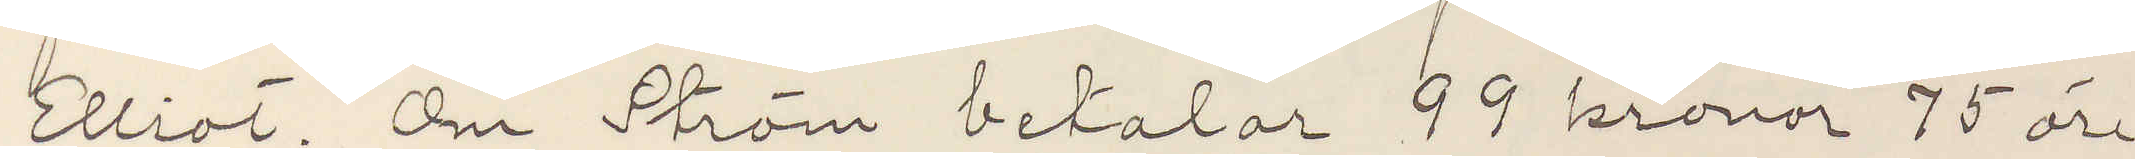Elliot. Om Ström betalar 99 kronor 75 öre
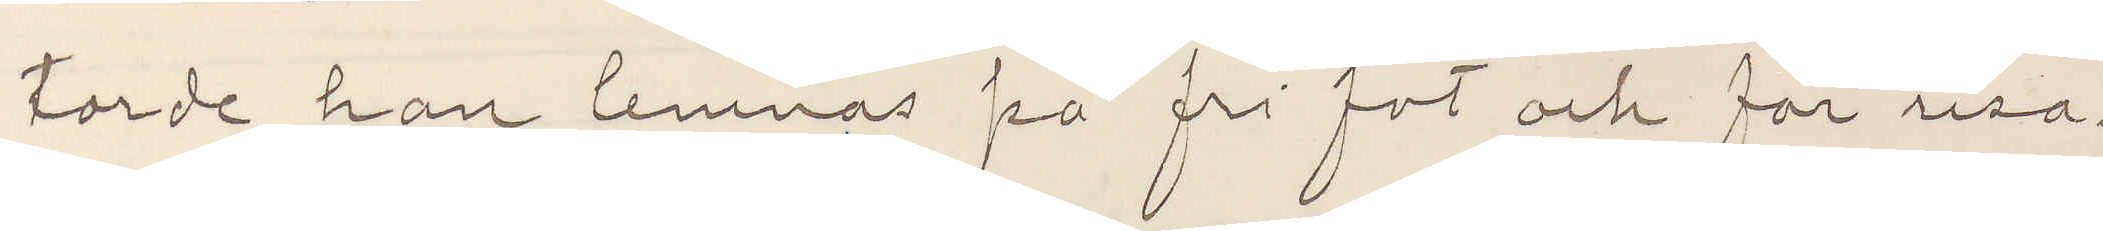torde han lemnas på fri fot och får resa.
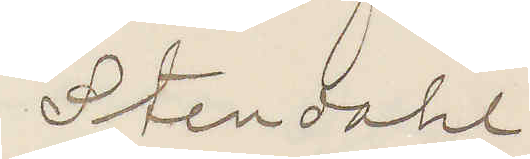Stendahl
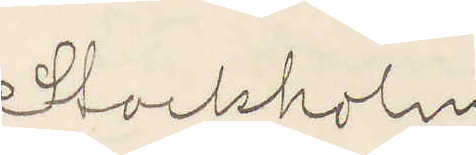Stockholm
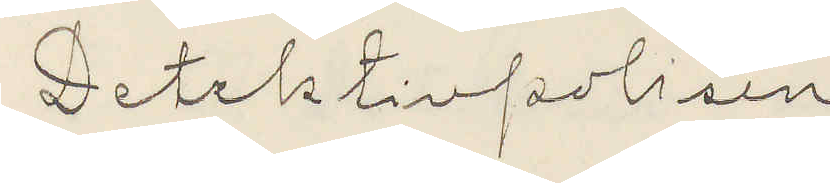Detektivpolisen
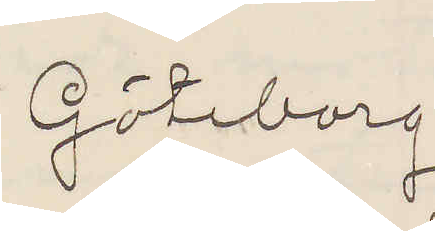Göteborg
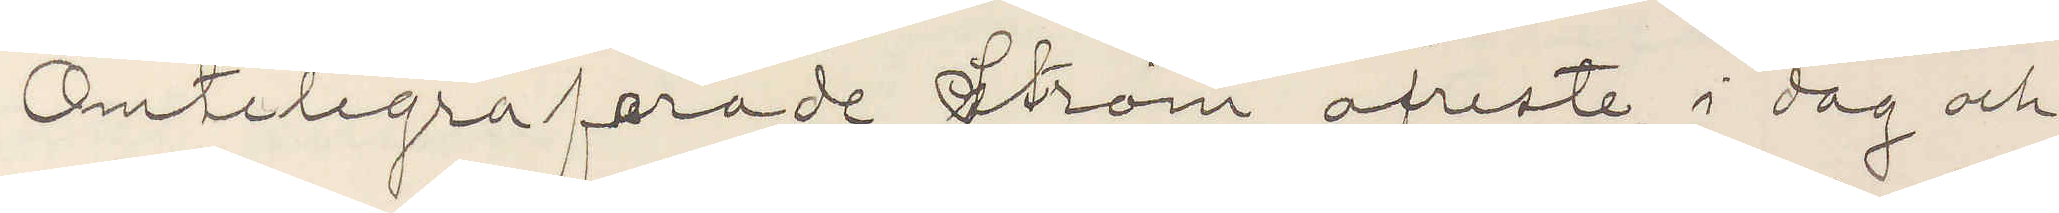Omtelegraferade Ström afreste i dag och
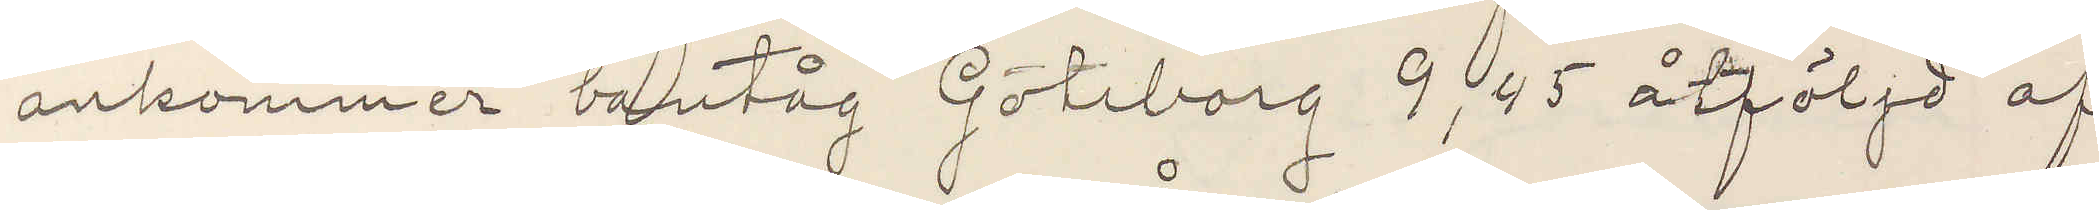ankommer bantåg Göteborg 9,45 åtföljd af
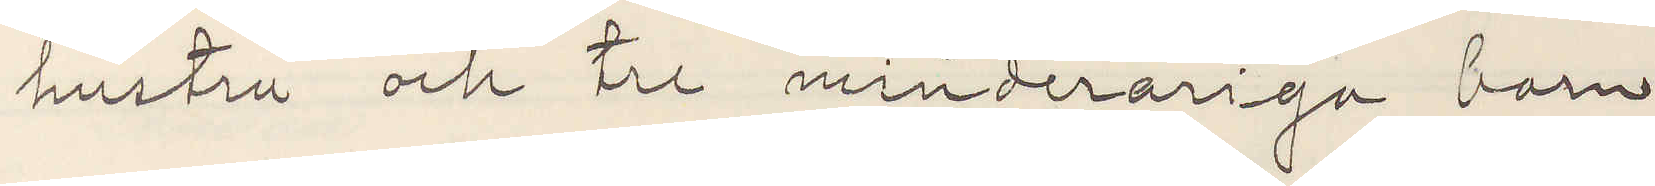hustru och tre minderåriga barn
